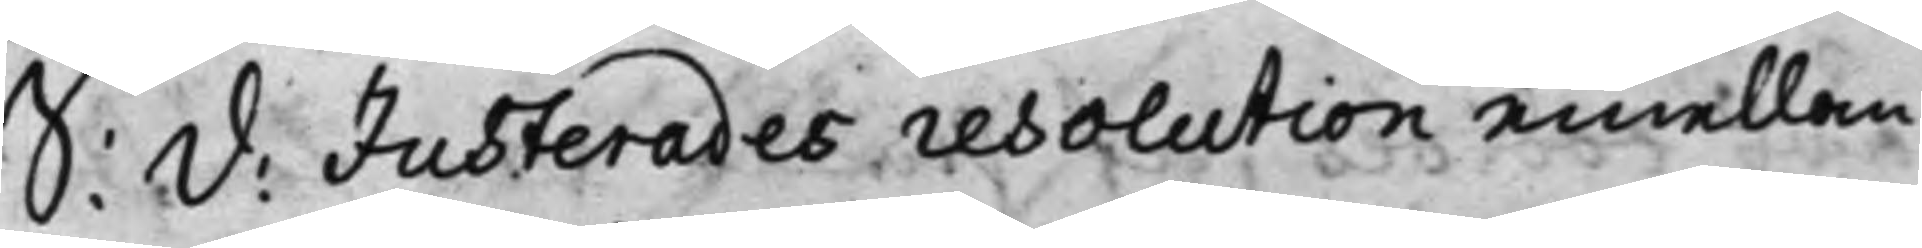S: d: Justerades resolution emellan
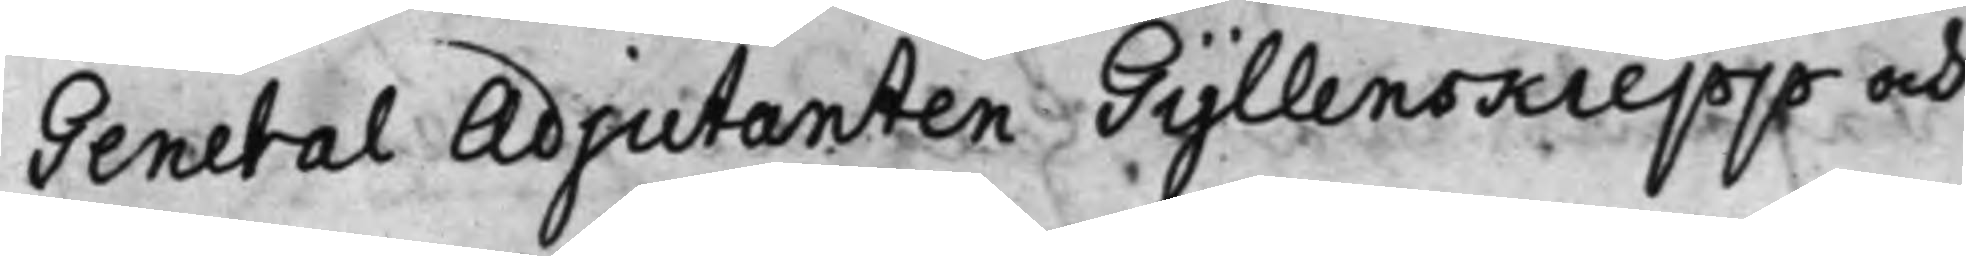General Adjutanten Gyllenskiepp och
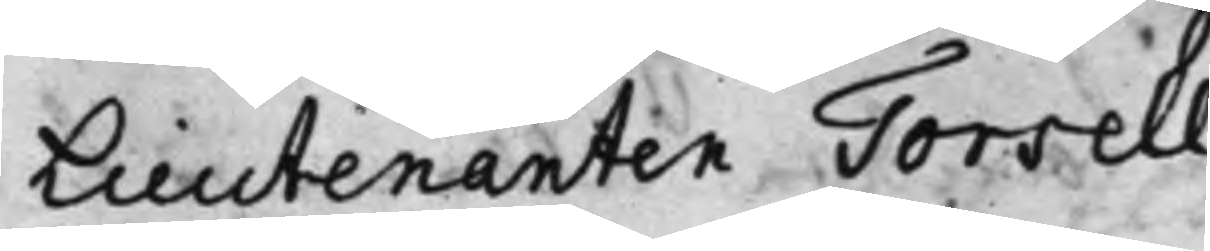Lieutenanten Torsell.
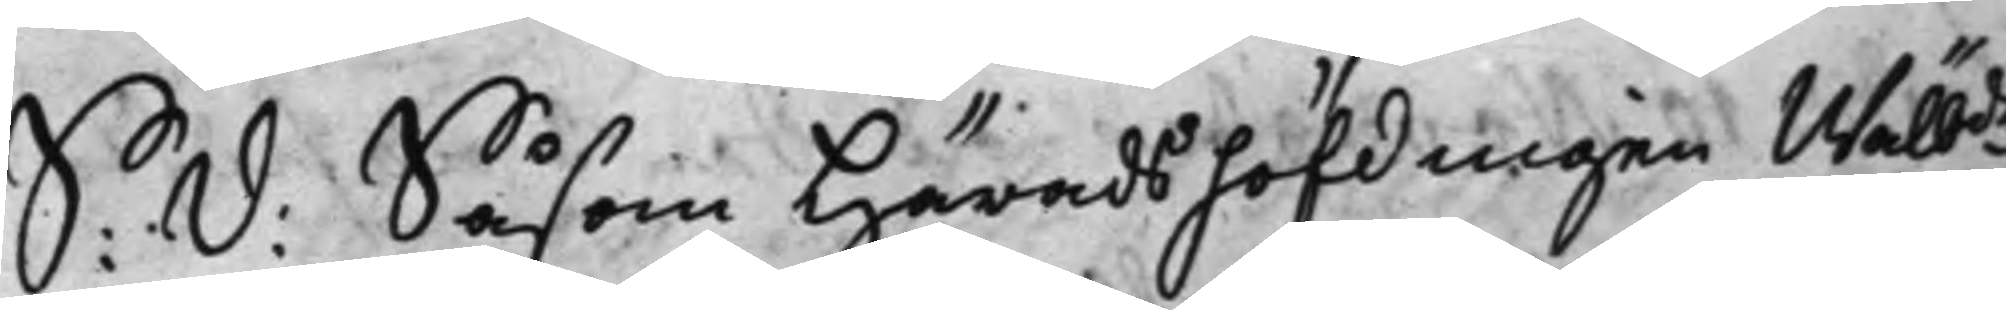S: d: Såsom Häradshöfdingen Wälb.de
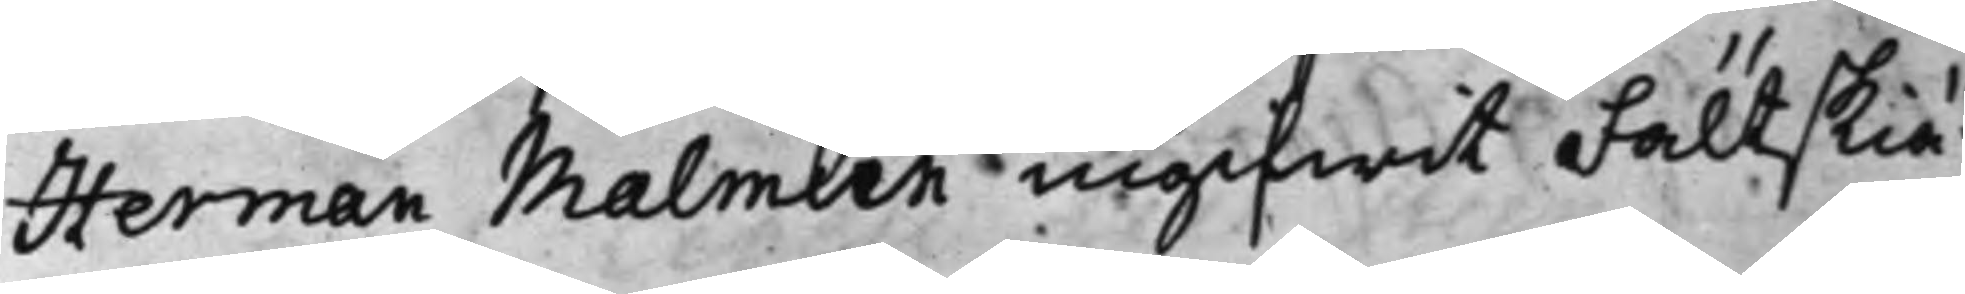Herman Malmiin ingifwit Fällskiä¬
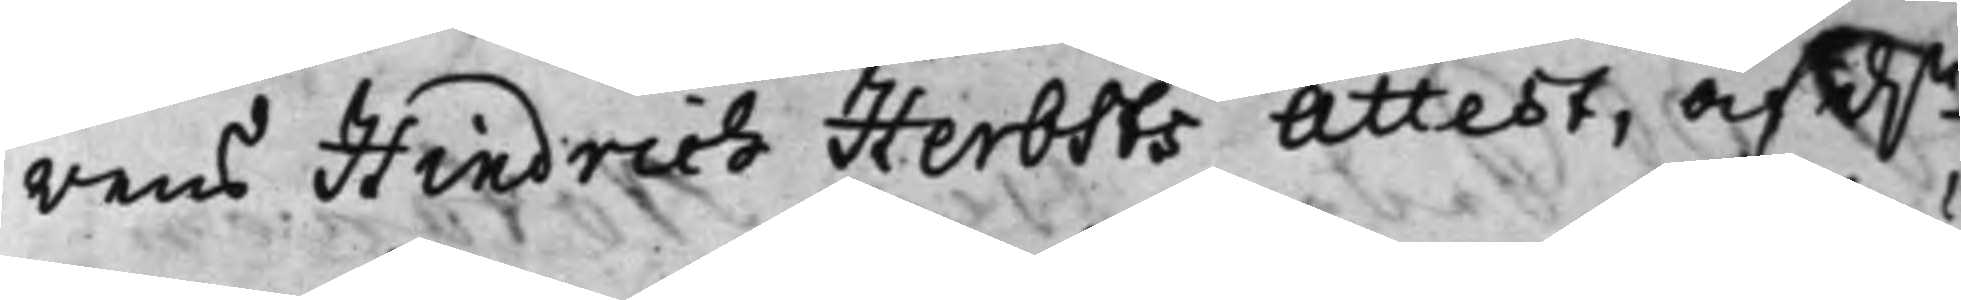rens Hindrich Herbsts Attest, af d.n
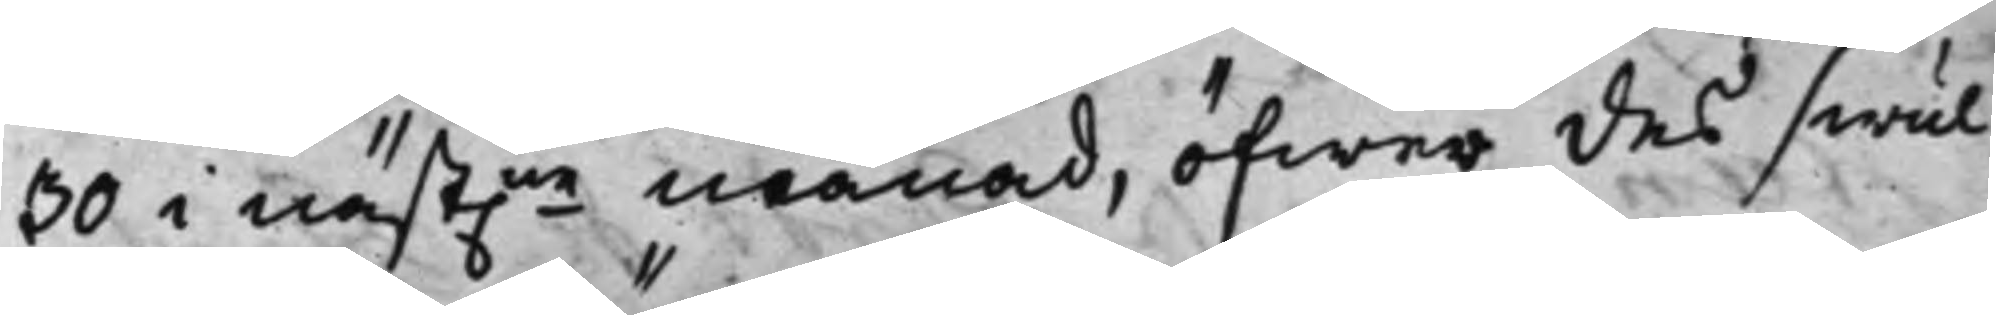30 i näst:ne månad, öfwer des swul¬
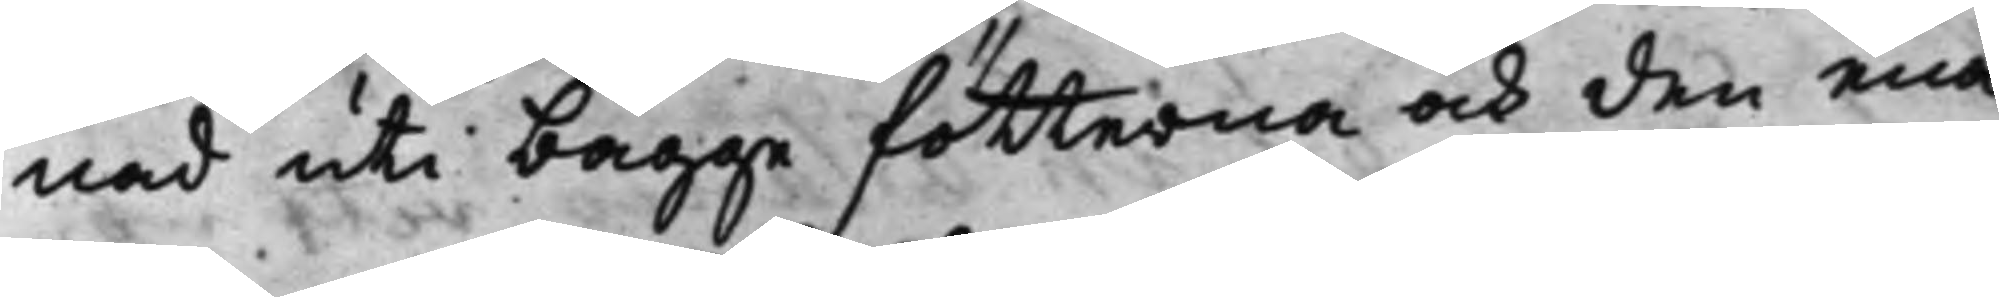nad uti bägge fötterna och den ena
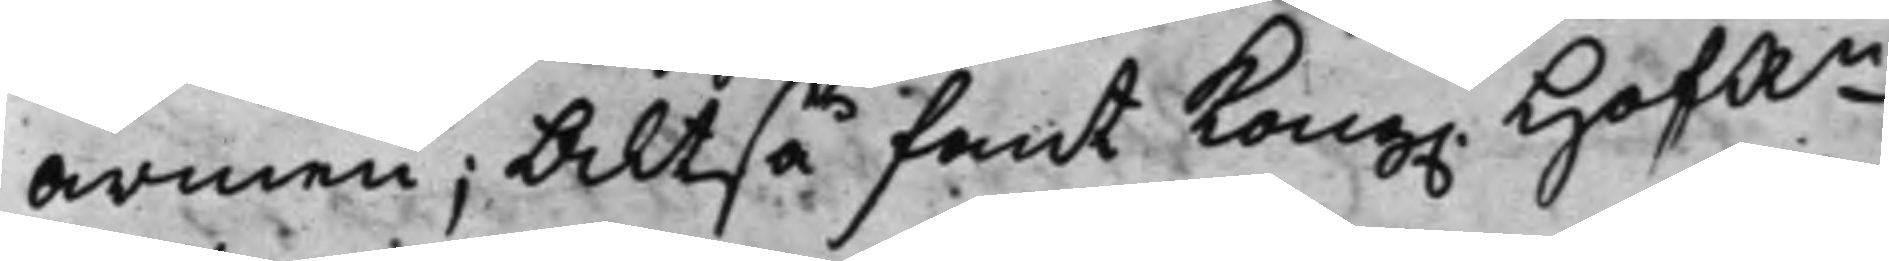armen; Altså fant Kong. HofR.n
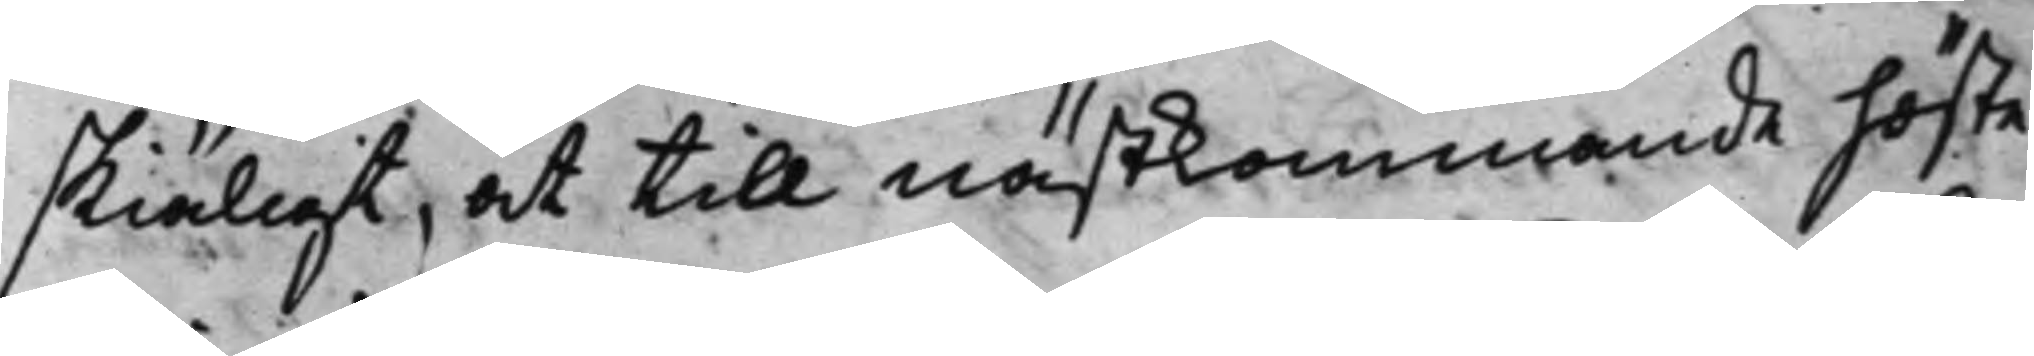skiäligt, at till nästkommande höste
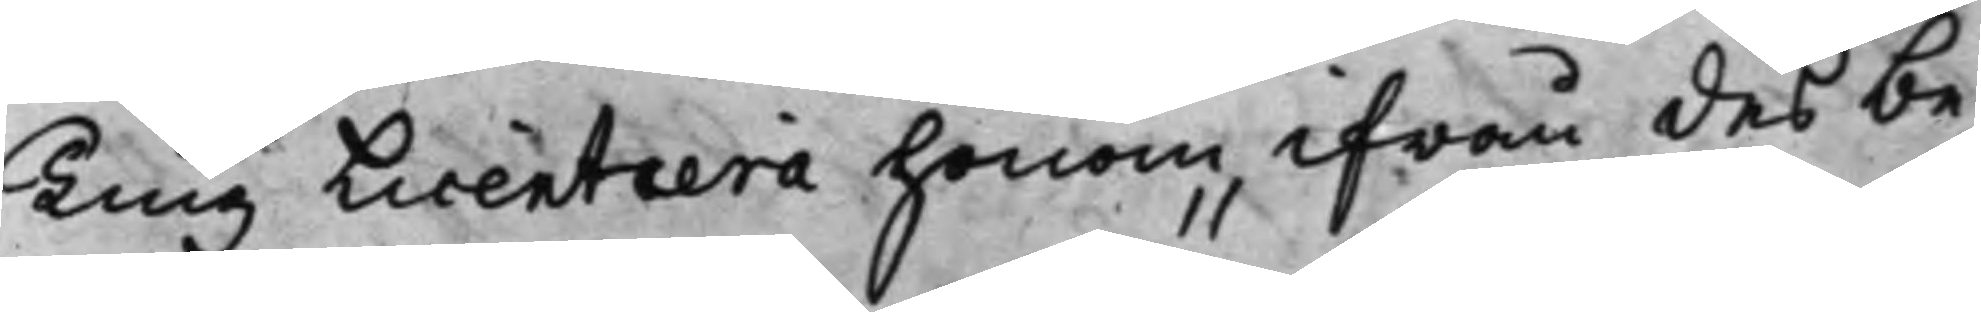Ting Licentiera honom ifrån des be¬
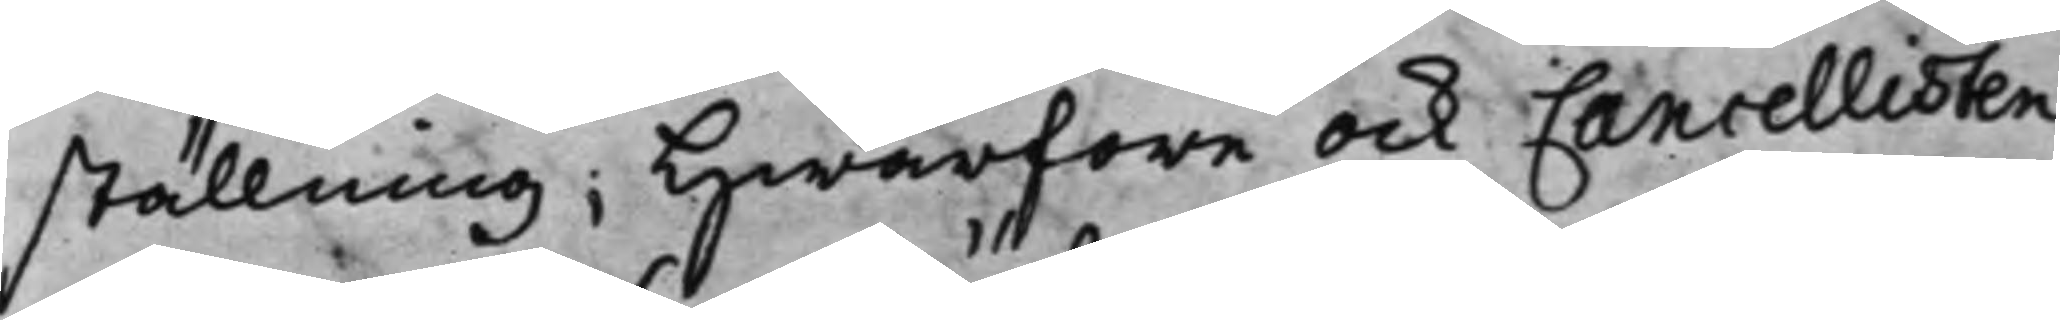ställning; Hwarföre ock Cancellisten
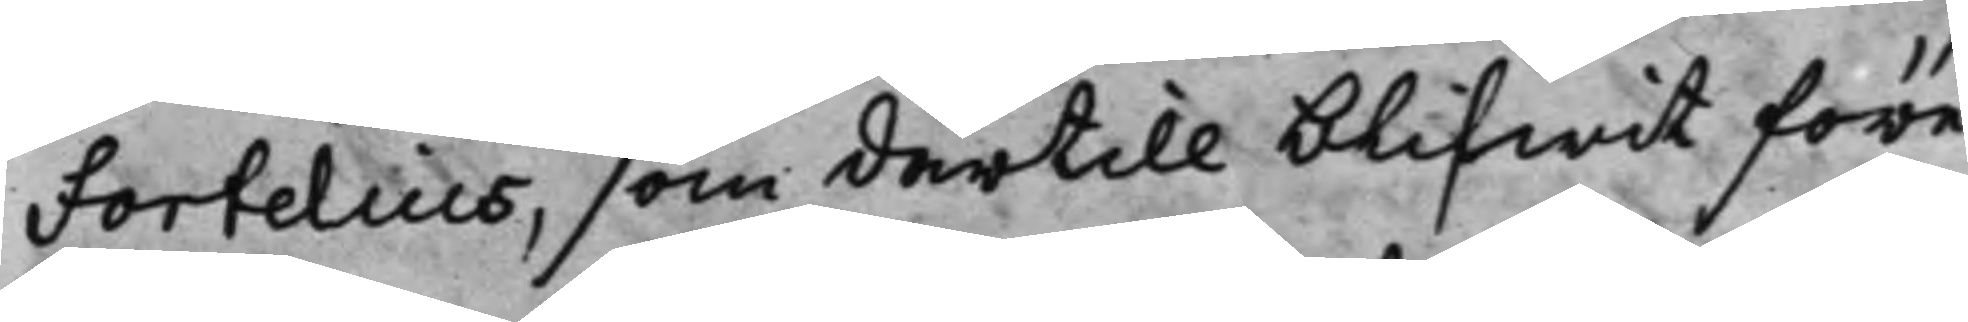Fortelius, som dertill blifwit före¬
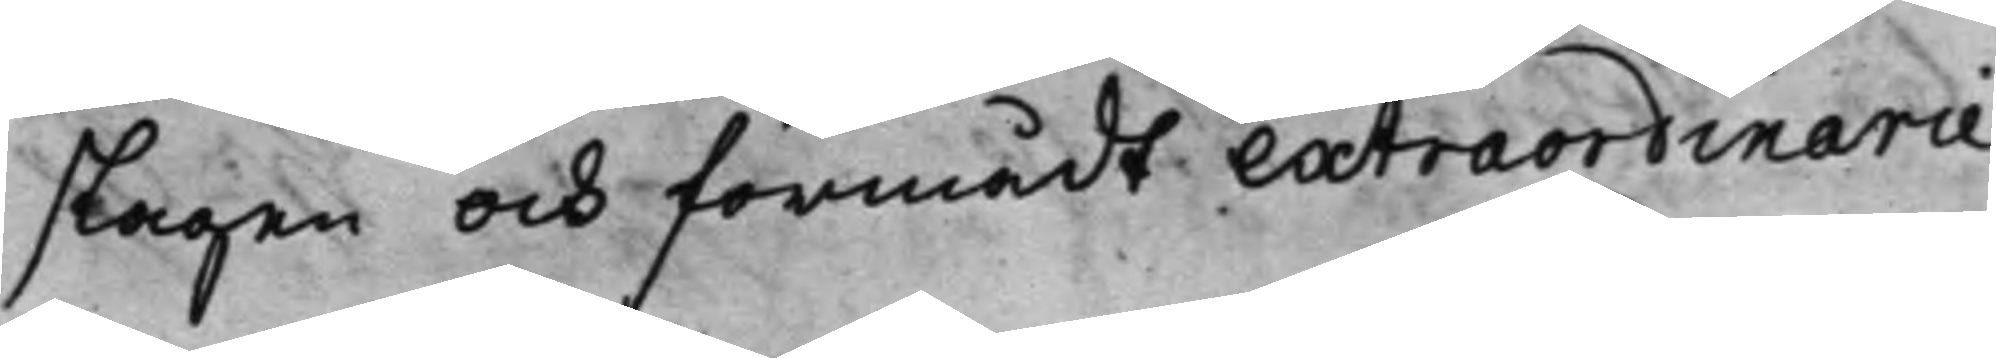slagen och förmådt extraordinarie
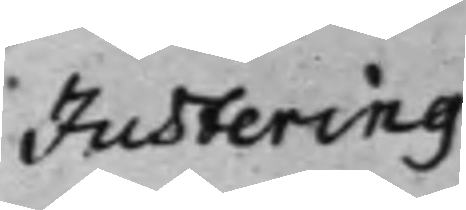Justering
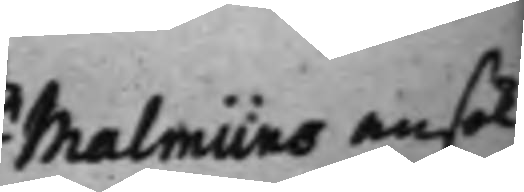Malmiins ansök¬
